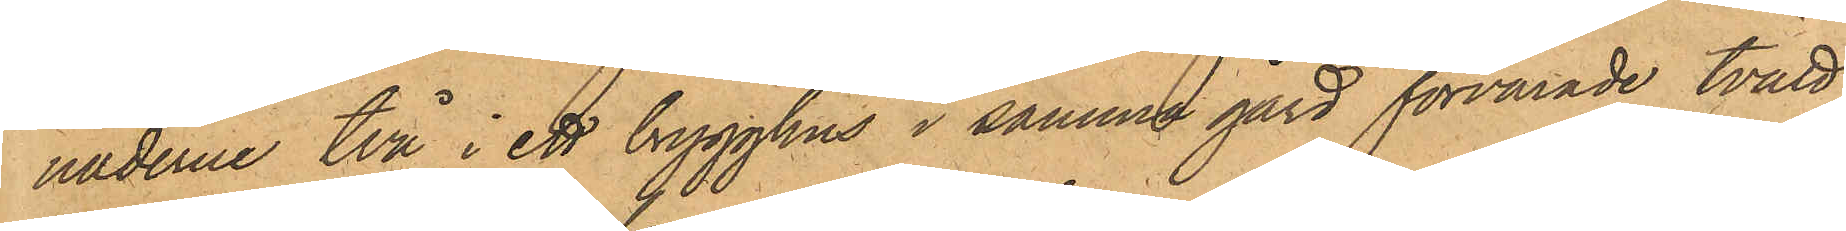naderne två i ett brygghus i samma gård förvarade tvätt¬
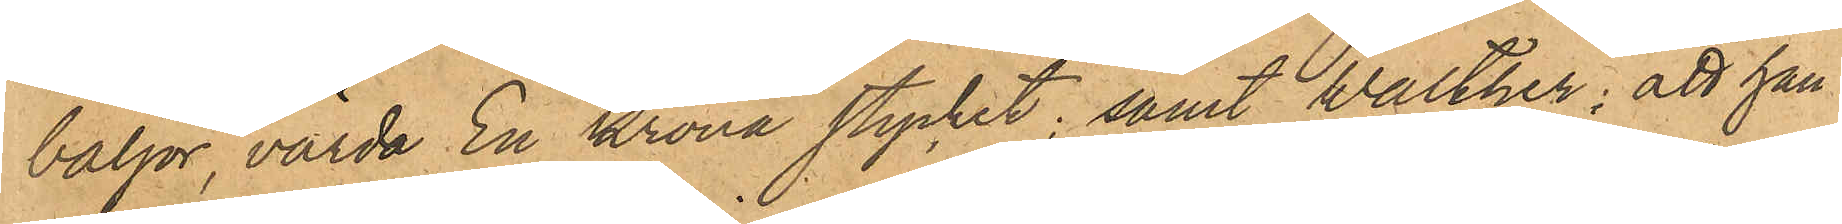baljor, värda En Krona stycket; samt Walther; att han
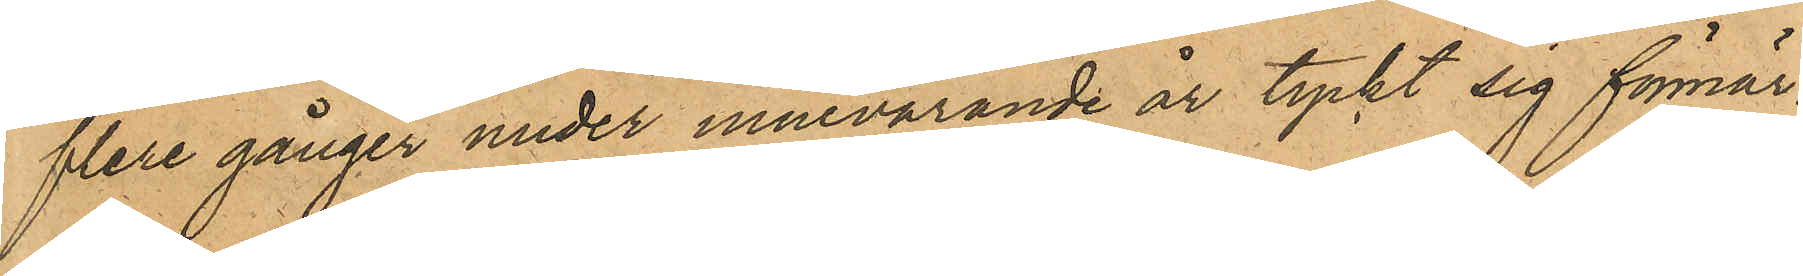flere gånger under innevarande år tyckt sig förmär¬
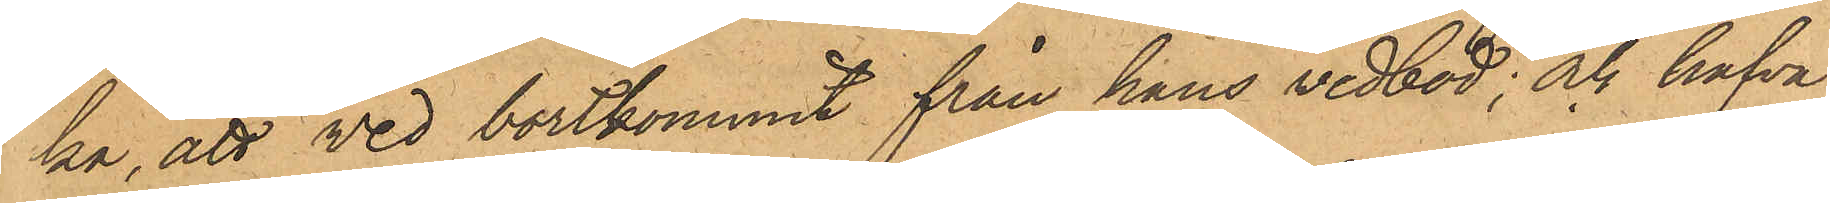ka, att ved bortkommit från hans vedbod; och hafva
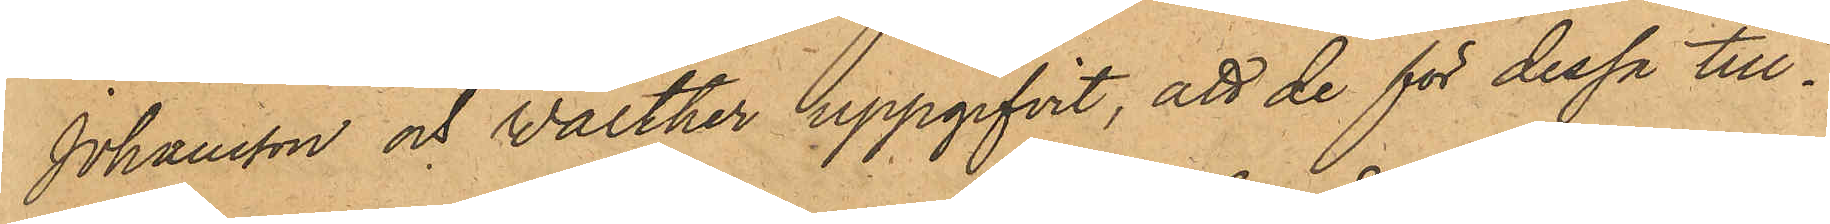Johansson och Walther uppgifvit, att de för dessa till¬
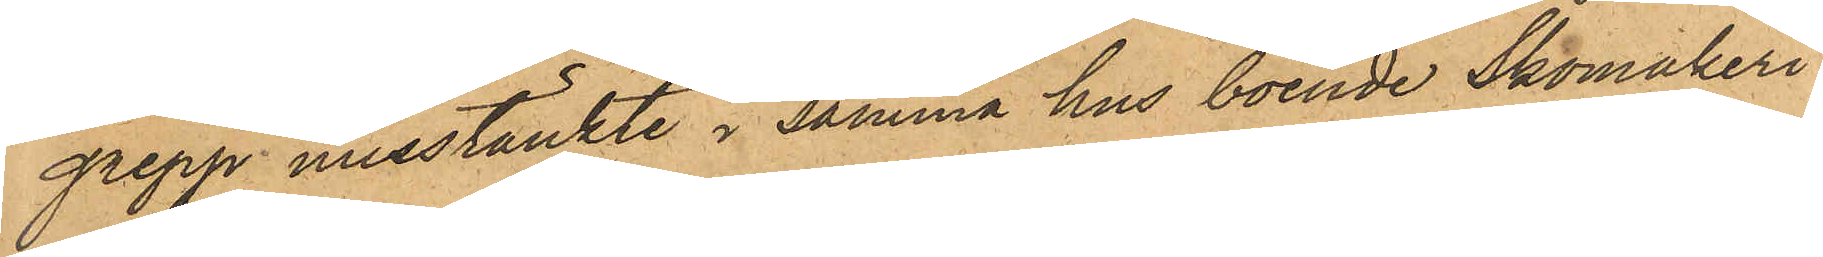grepp misstänkte i samma hus boende Skomakeri¬
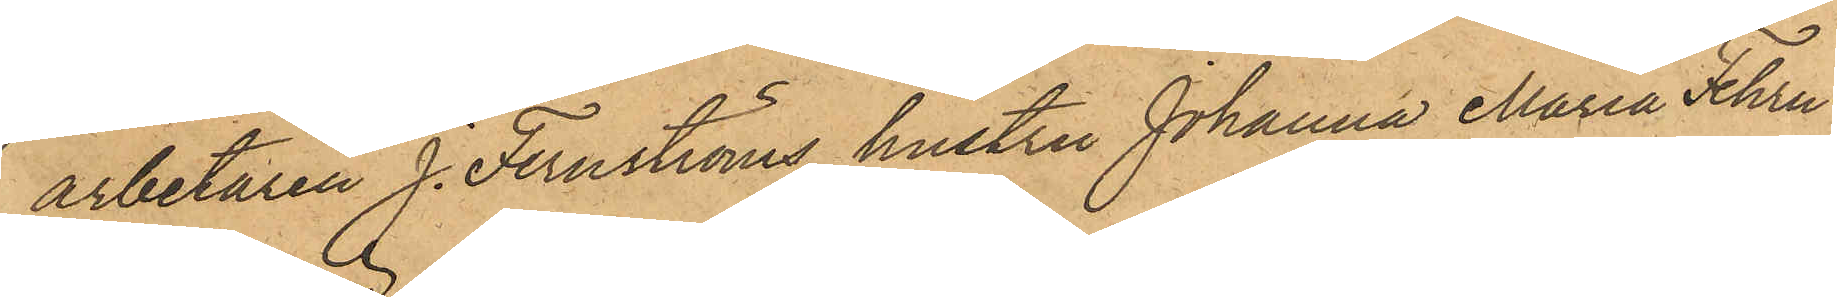arbetaren J. Fernströms hustru Johanna Maria Fehrn¬
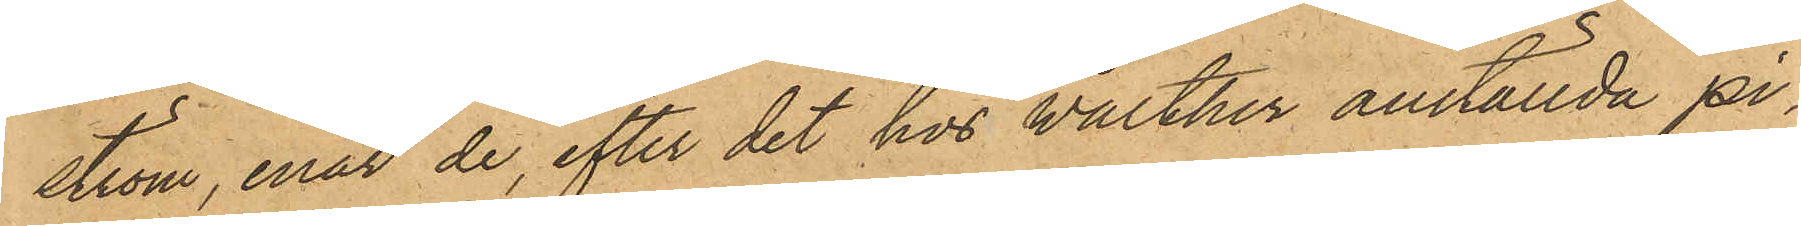ström, enär de, efter det hos Walther anställda pi¬
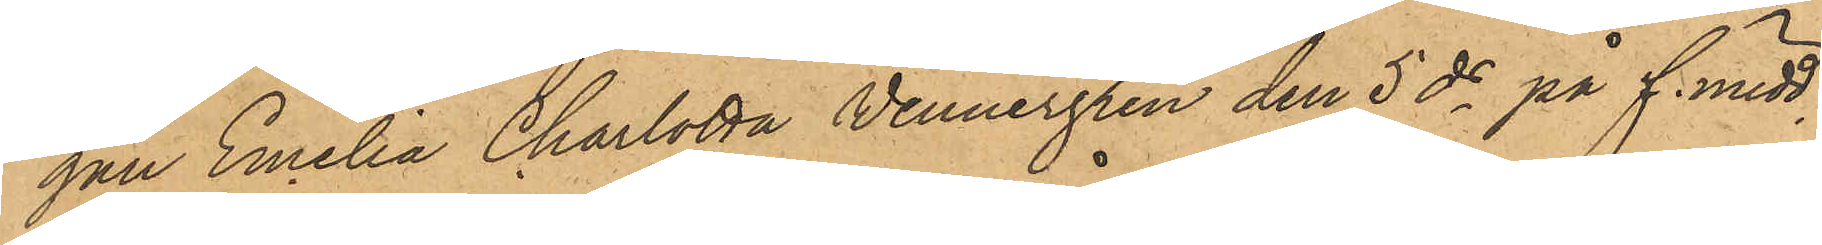gan Emelia Charlotta Vennergren den 5 ds på f. midd.
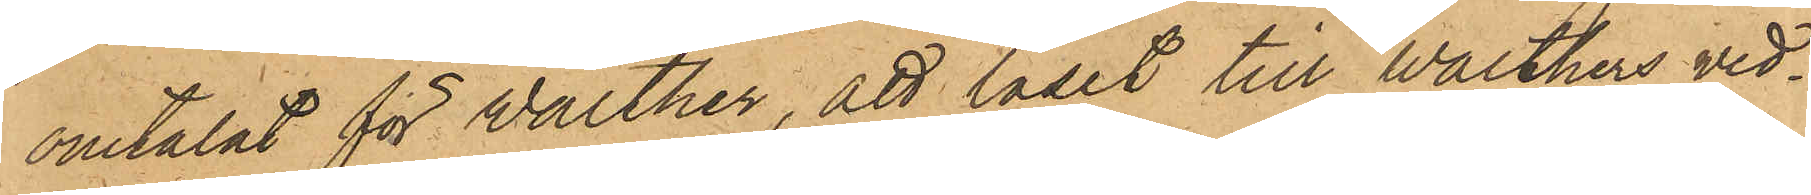omtalat för Walther, att låset till Walthers ved¬
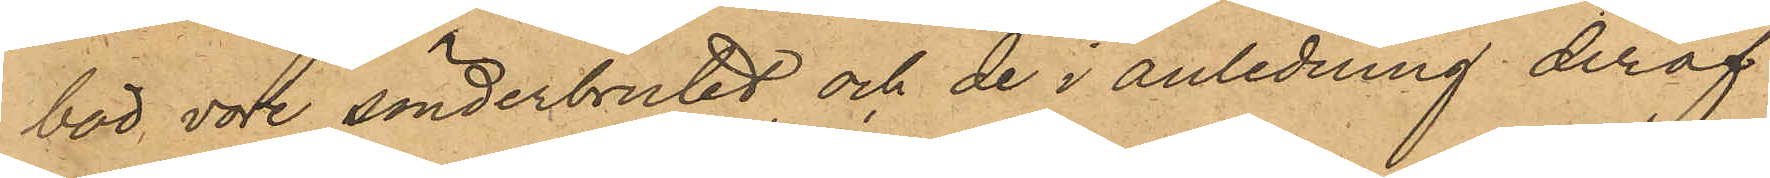bod, vore sönderbrutit och de i anledning deraf
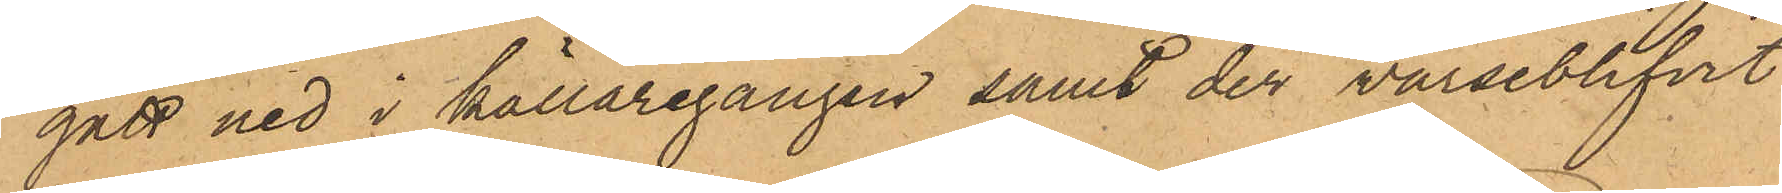gått ned i källaregången samt der varseblifvit 
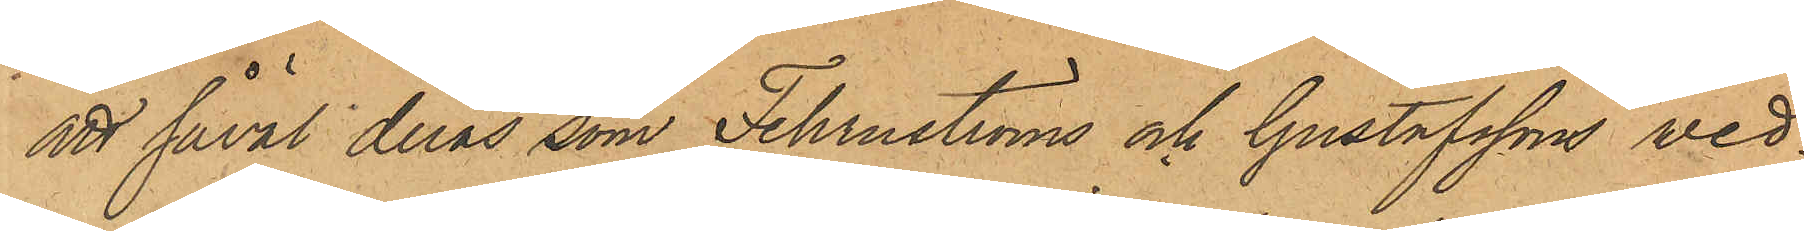att såväl deras som Fehrnströms och Gustafssons ved¬
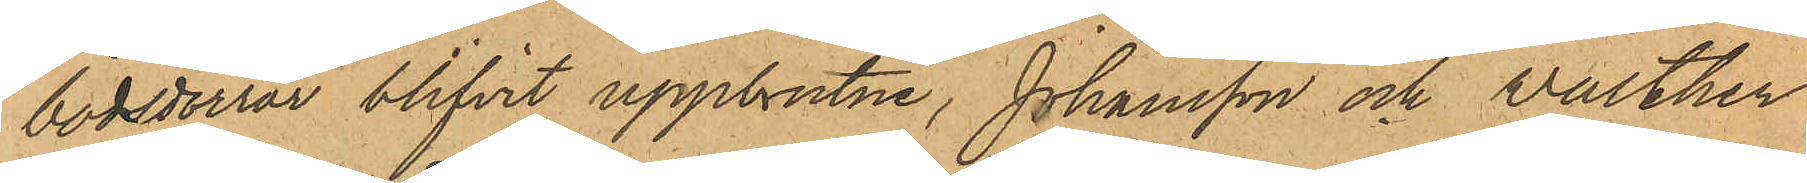bodsdörrar blifvit uppbrutne, Johansson och Valther
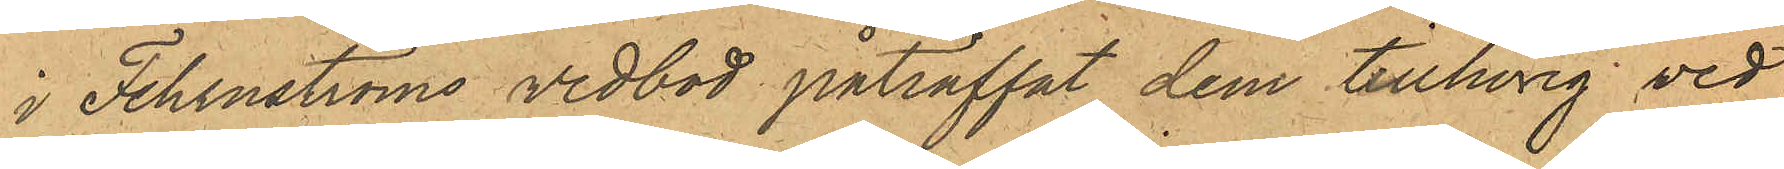i Fehrnströms vedbod påträffat dem tillhörig ved;
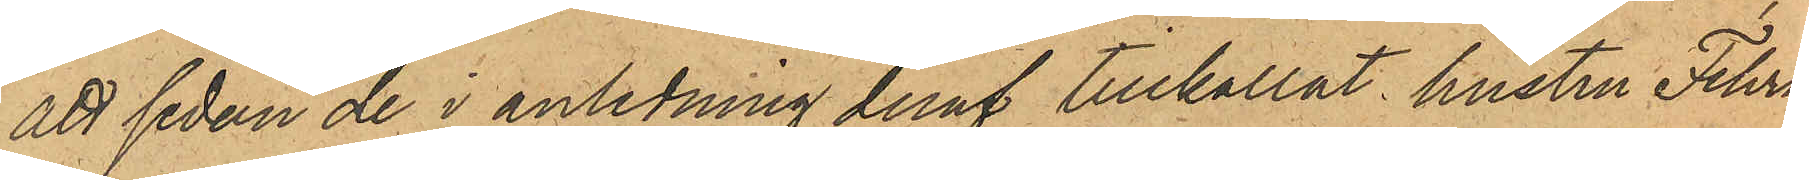att sedan de i anledning deraf tillkallat hustru Fehrn¬
